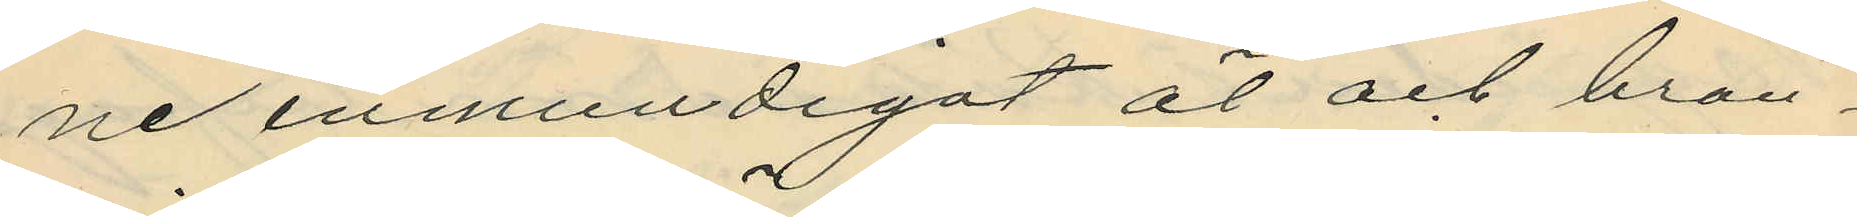ne inmundigat öl och brän¬
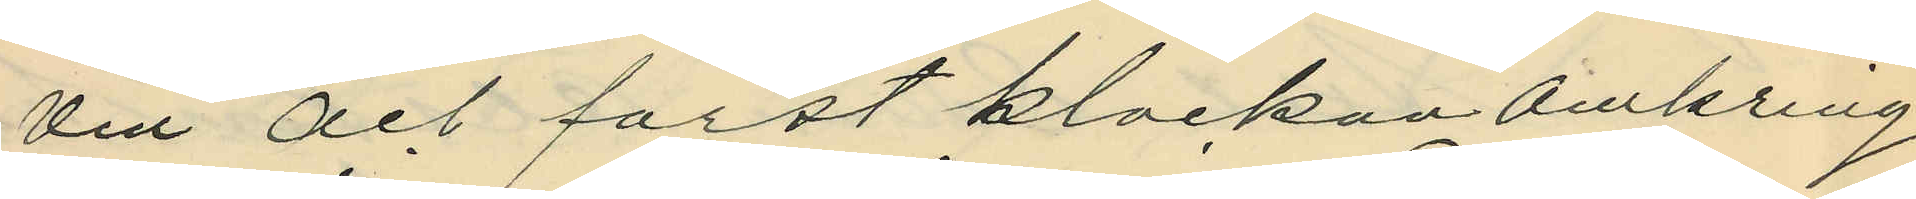vin och först klockan omkring
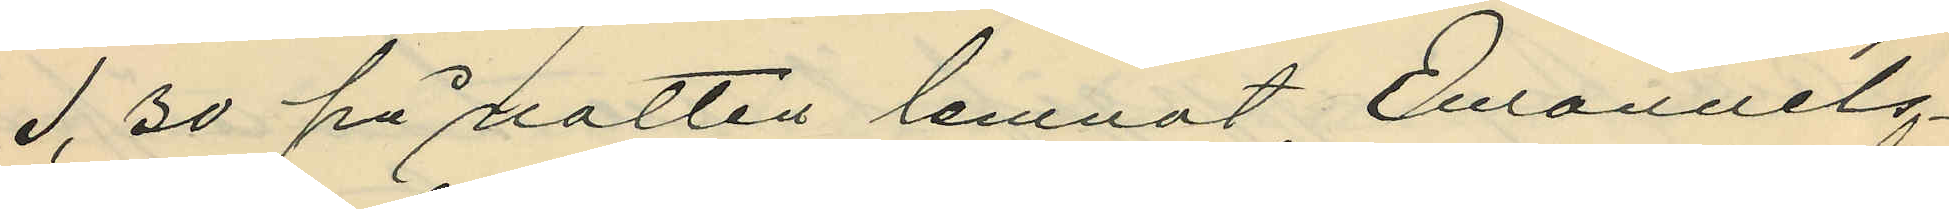1,30 på natten lemnat Emanuels¬
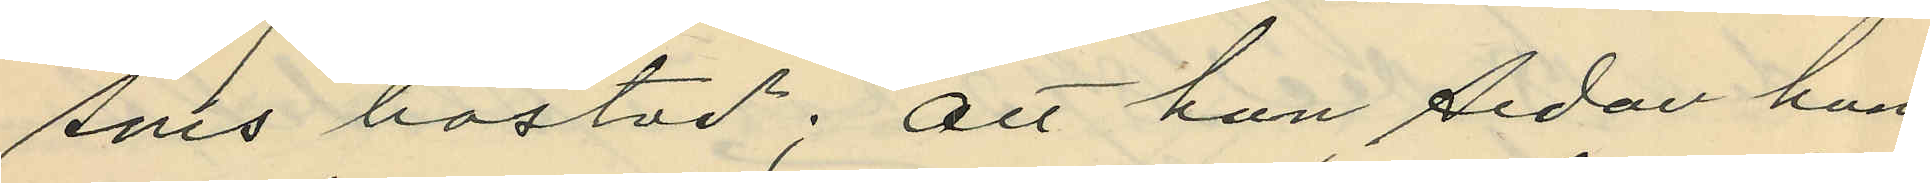sons bostad; att han sedan han
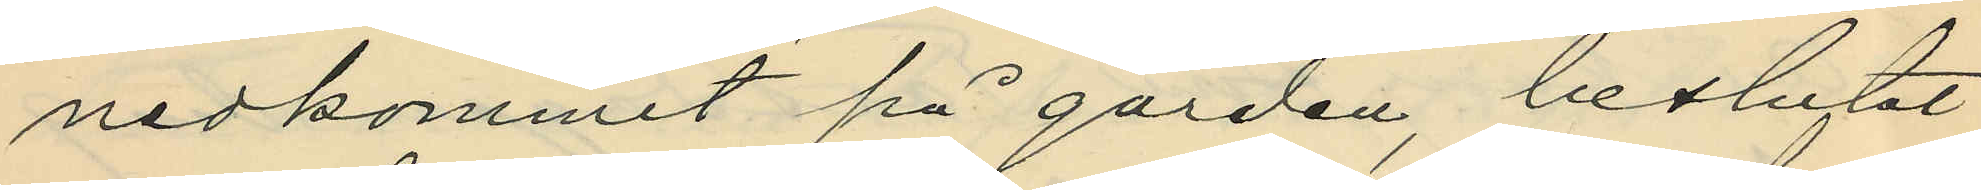nedkommit på gården, beslutat
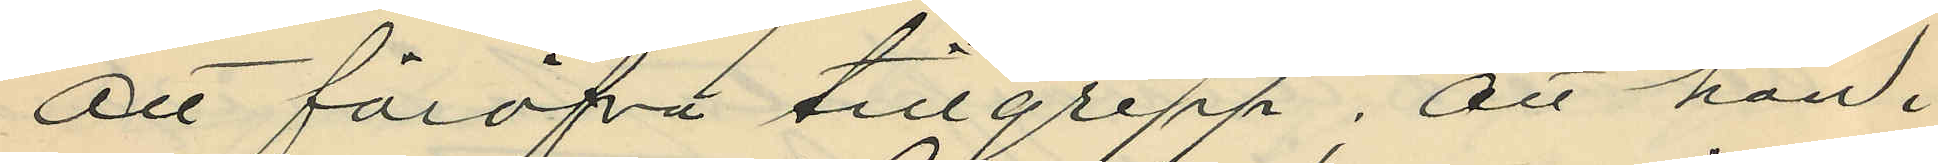att föröfva tillgrepp; att han i
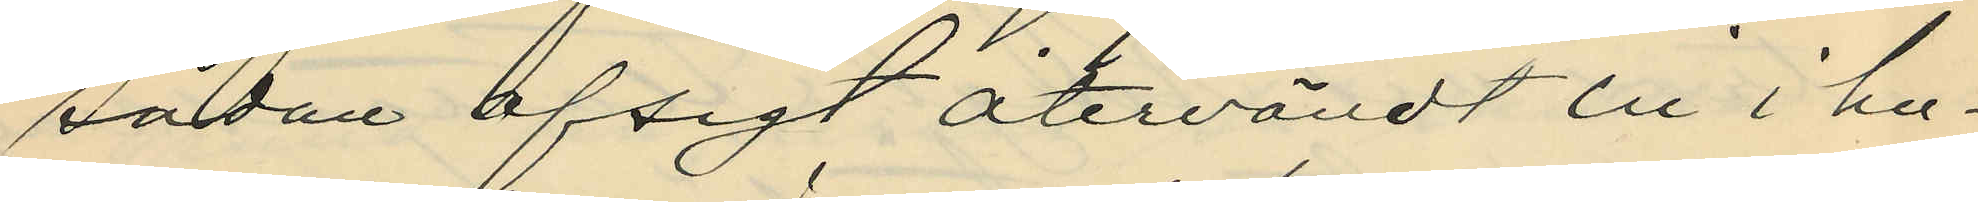sådan afsigt återvändt in i hu¬
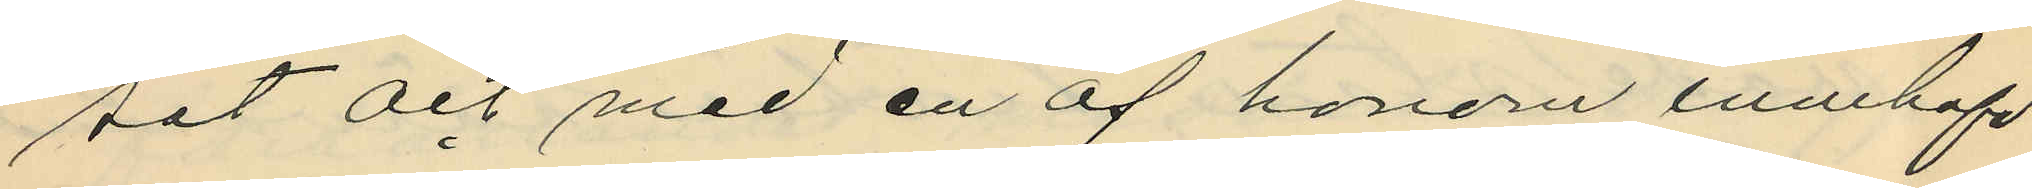set och med en af honom innehafd
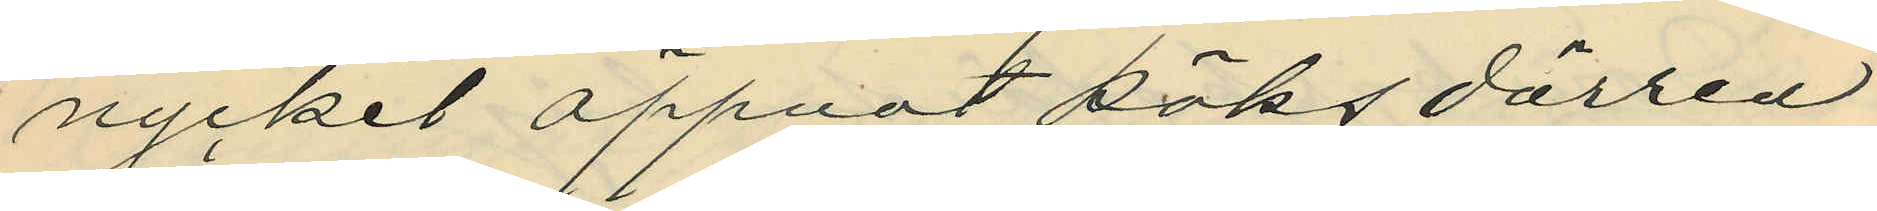nyckel öppnat köksdörren
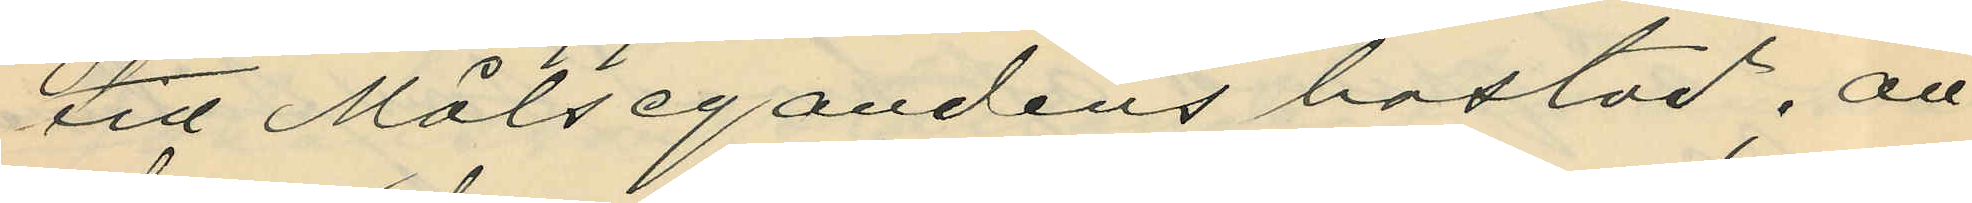titl Målsegandens bostad; att
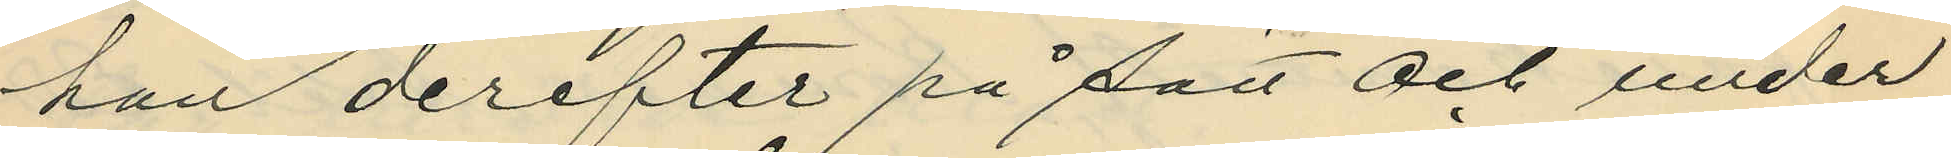han derefter på sätt och under
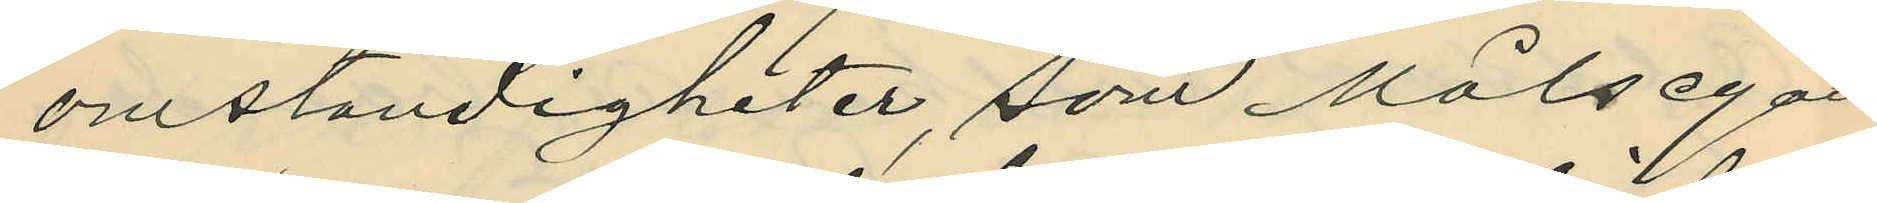omständigheter, som Målsegan¬
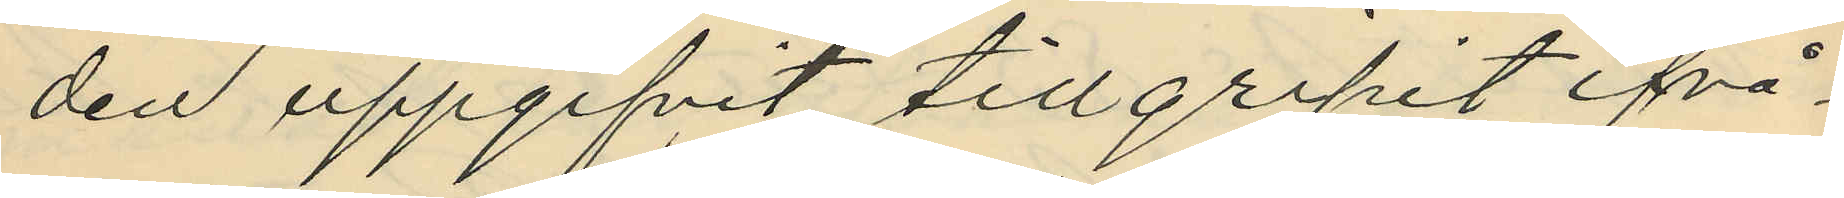den uppgifvit, tillgripit ifrå¬
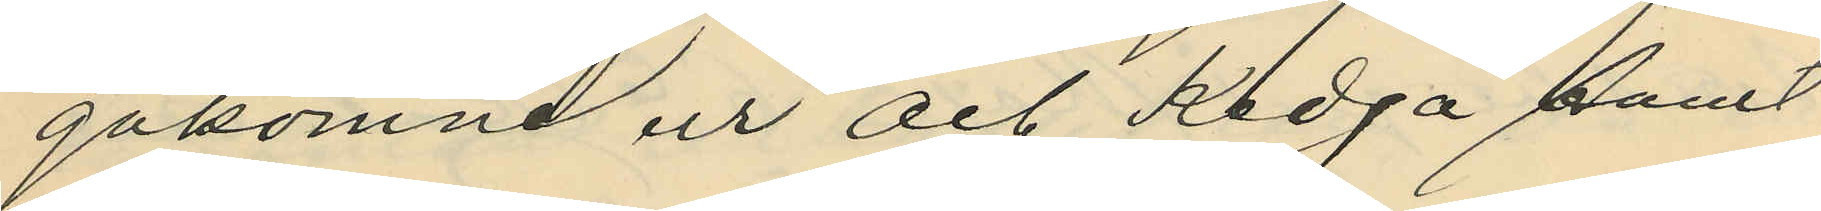gakomne ur och Kedja samt
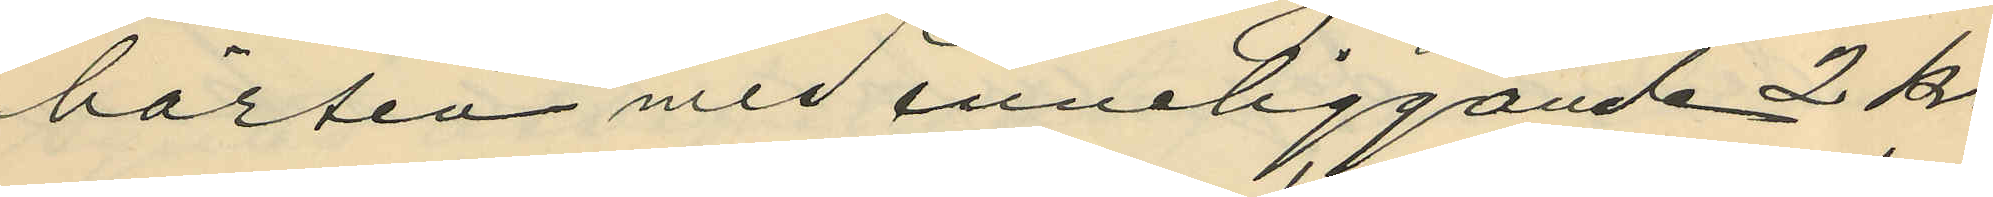börsen med inneliggande 2 kr,
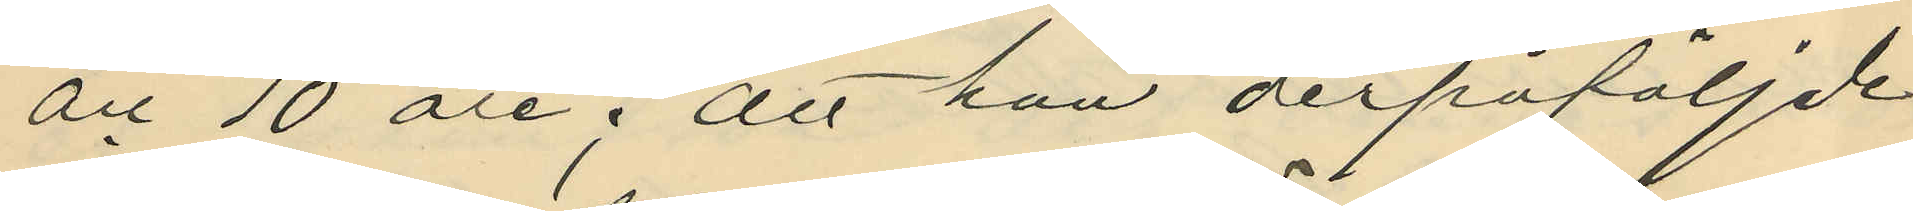och 10 öre; att han derpåföljde
